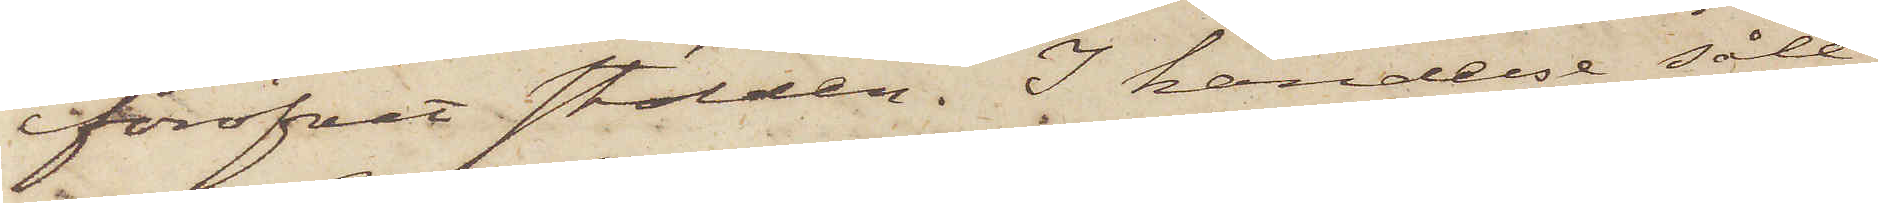föröfvat stölden. I händelse såle¬
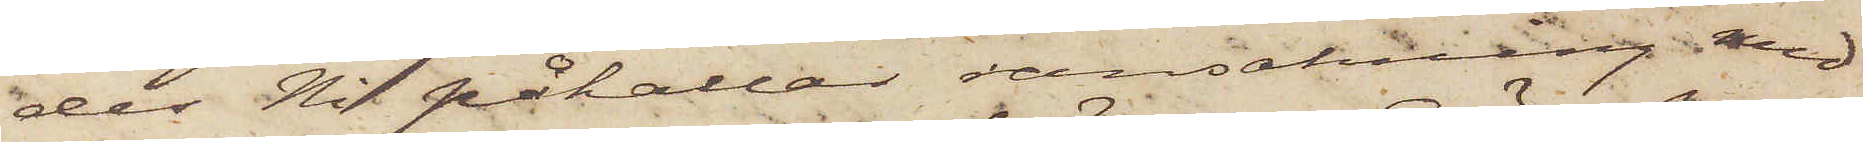des Ni påkallar ransakning med
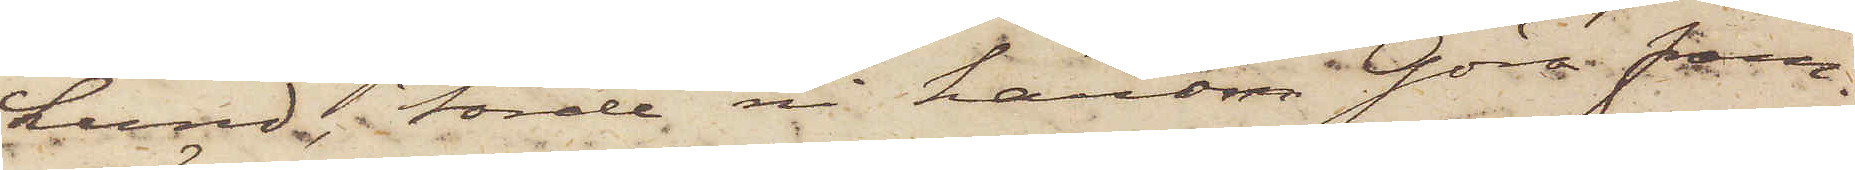Lund, torde ni härom göra fram¬
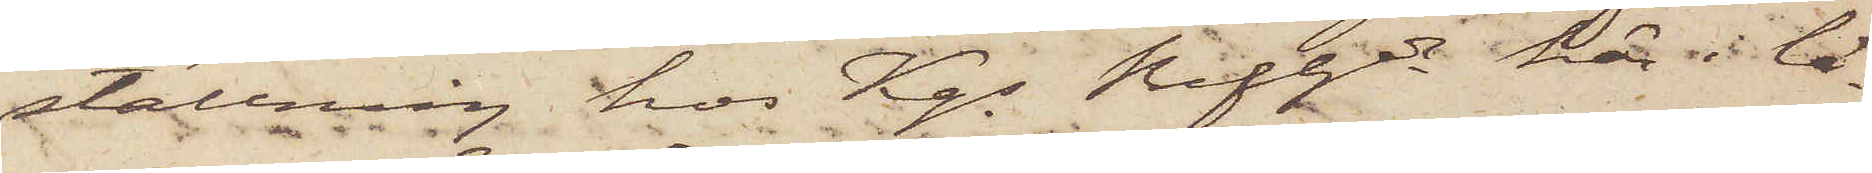ställning hos Kgs Befhde här i lä¬
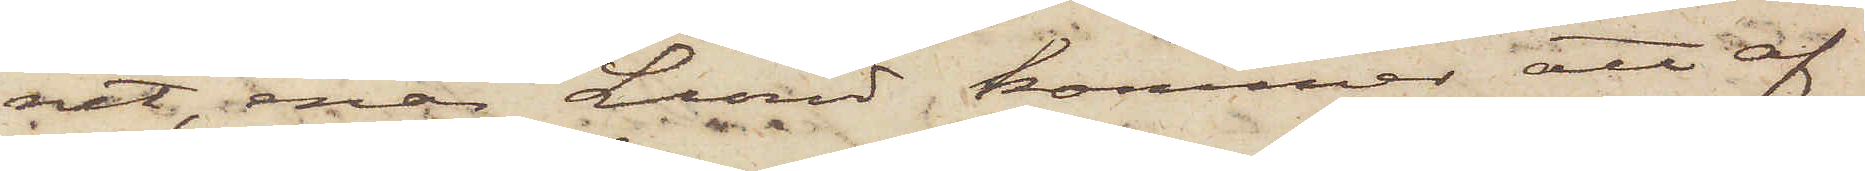net, enär Lund kommer att af
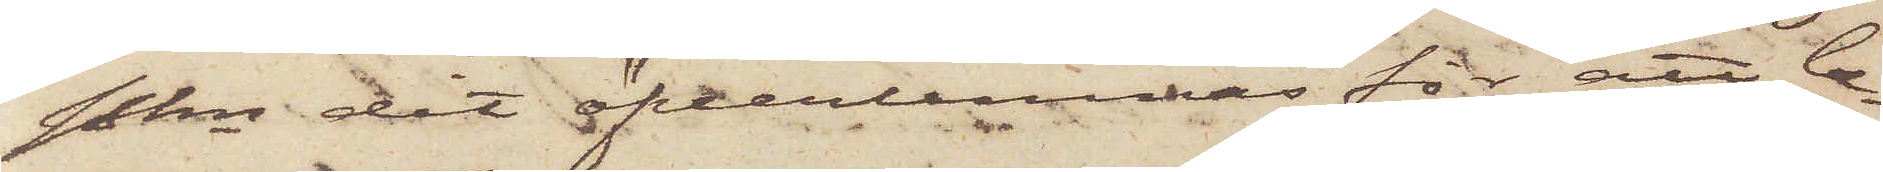Pkn dit öfverlemnas för att be¬
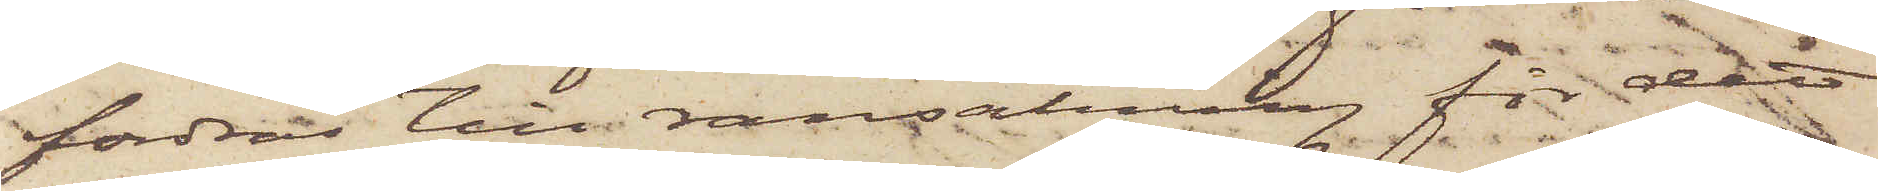fordras till ransakning för det
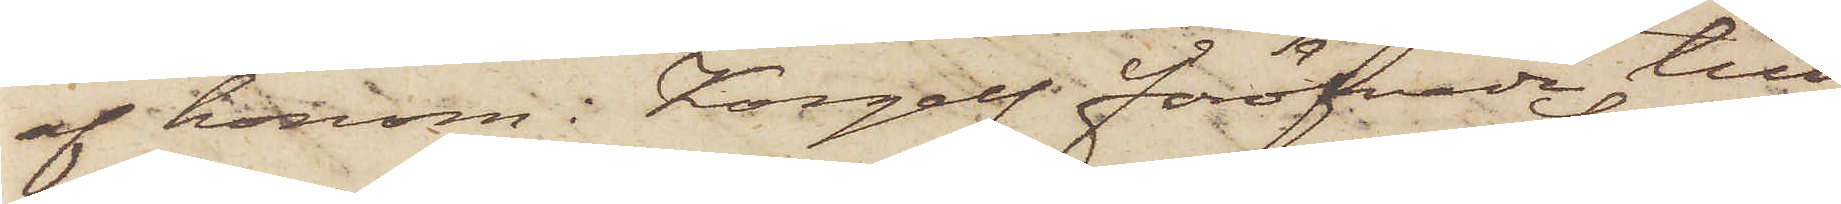af honom i Kongelf föröfvade till¬
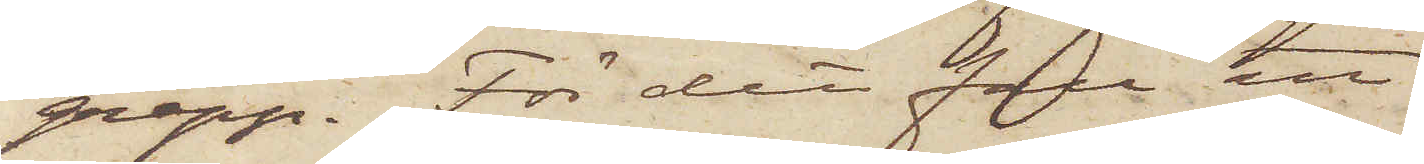grepp. För det fall att
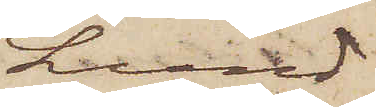Lund
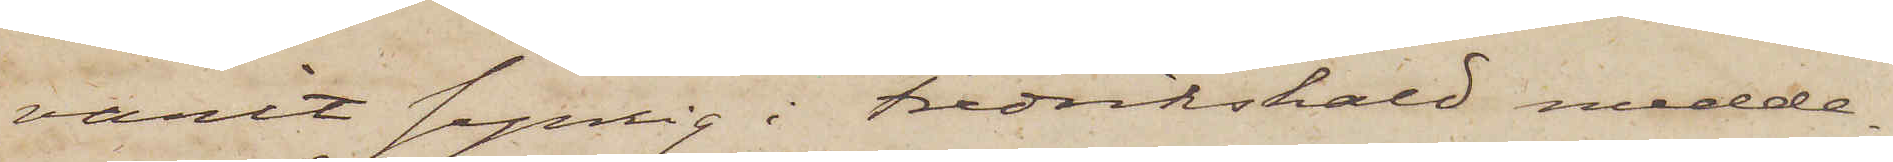varit synlig i Fredrikshald medde¬
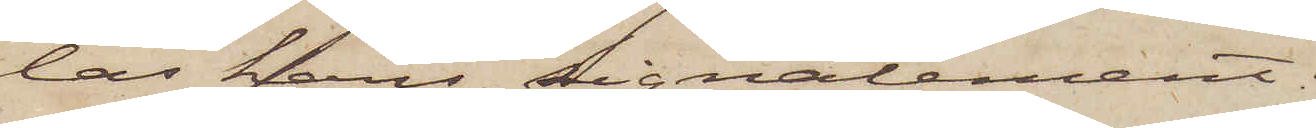las hans signalement.
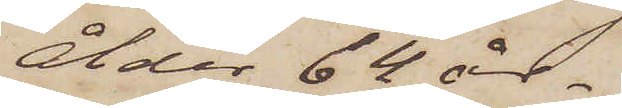Ålder 64 år. 
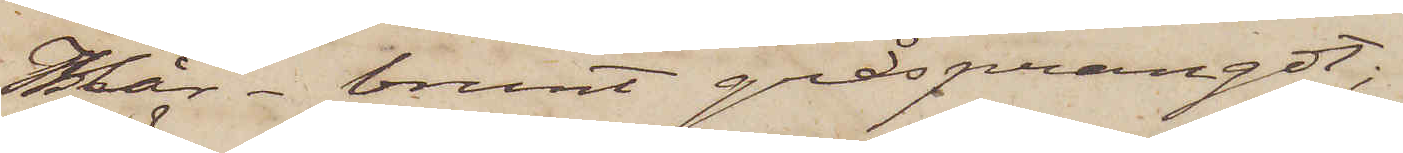Hår - brunt gråsprängt;
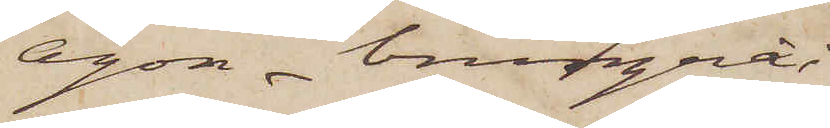ögon - brungrå;
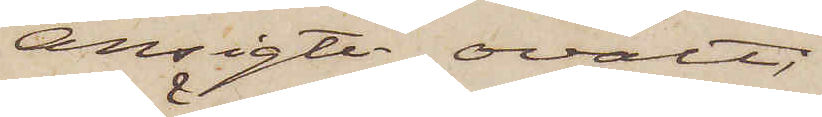Ansigte - ovalt,
